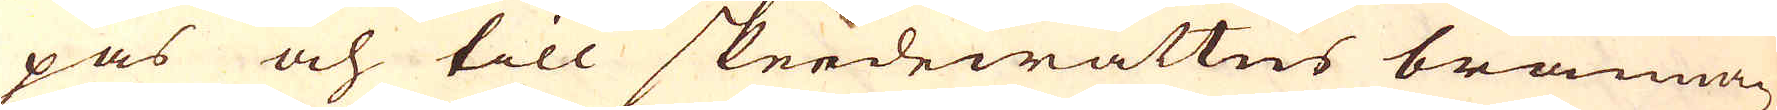pas och till skeedewattns brännan-
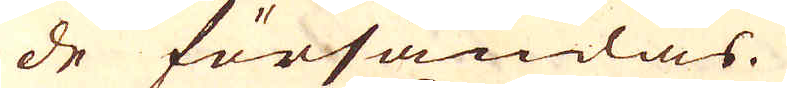de försändas.
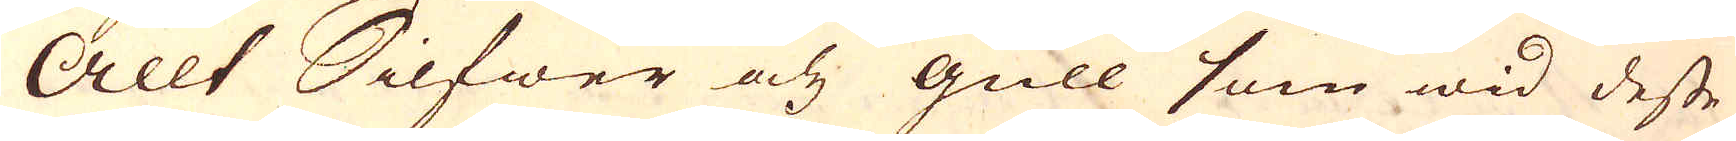Allt Silfwer och gull som wid desse
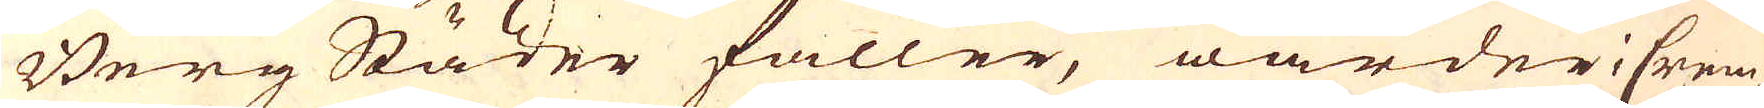Berg Städer faller, warder i Crem-
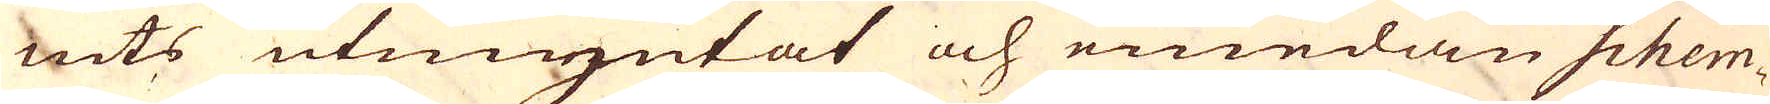nits utmyntat och emedan Schem-
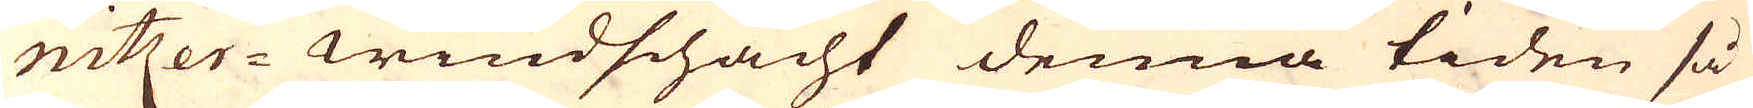nitzer-windschacht denna tiden så
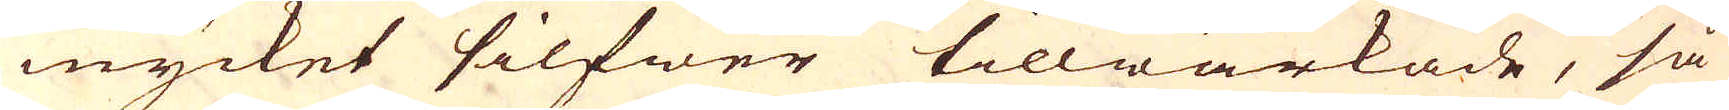mycket silfwer tillwärkade, så
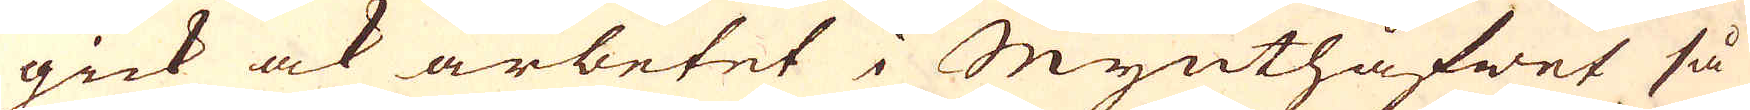gick ock arbetet i Mynthåfwet så
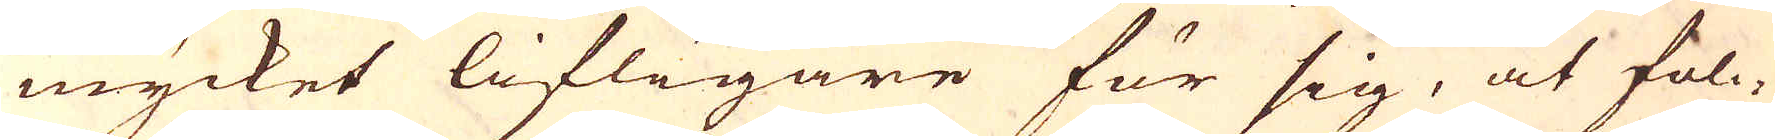mycket lifligare för sig, at fol-
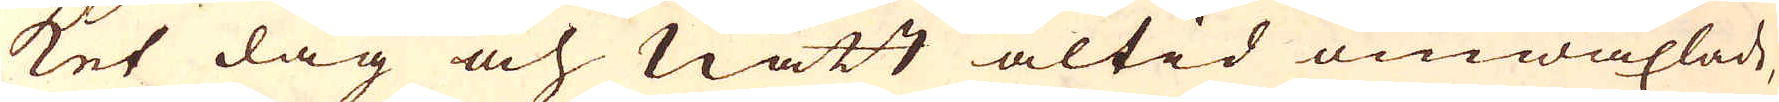ket dag och natt altid omwäxlade,
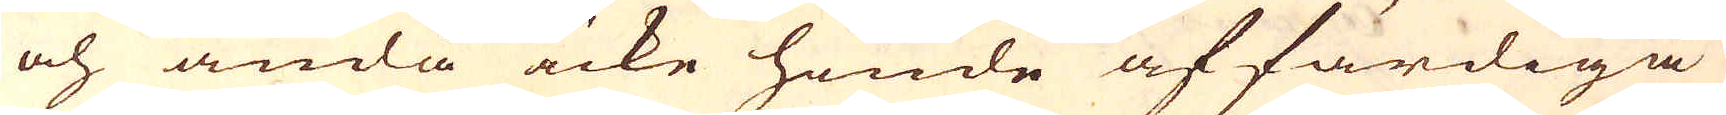och ändå icke hinde affärdiga
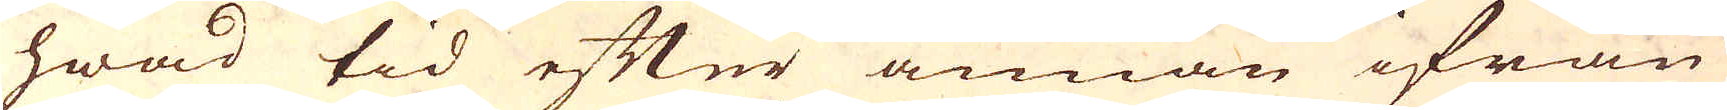hwad tid efter annan ifrån
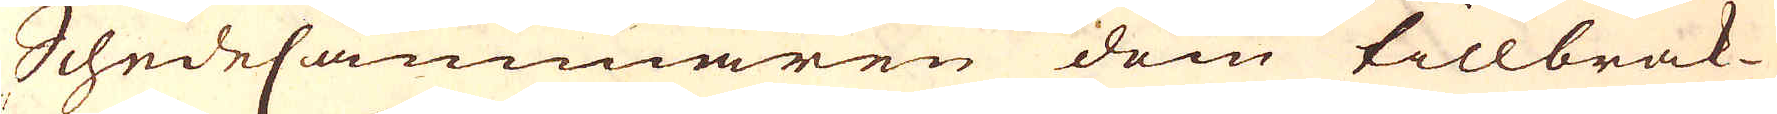SchedeCammaren dom tillbrak-
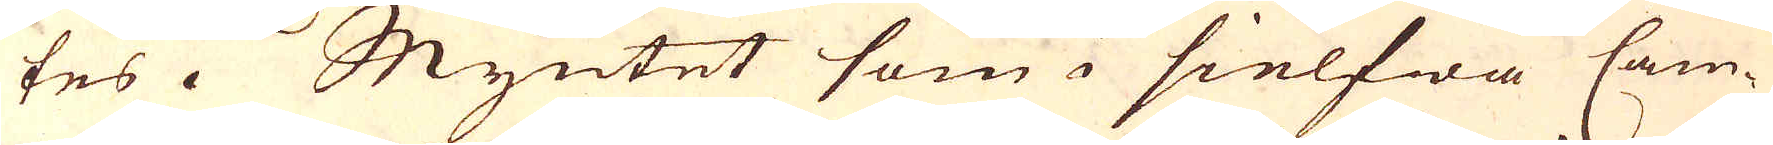tes. Myntet som i sielfwa Cam-
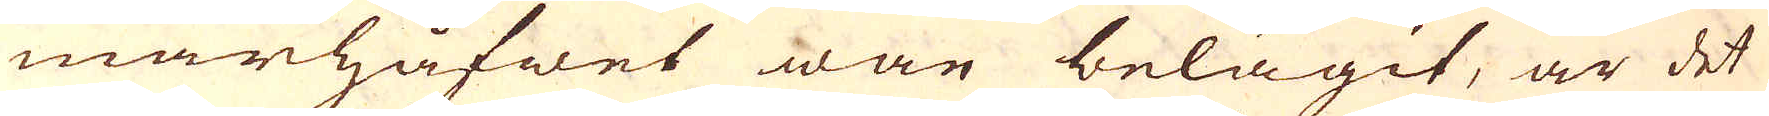marhåfwet war belägit, är det
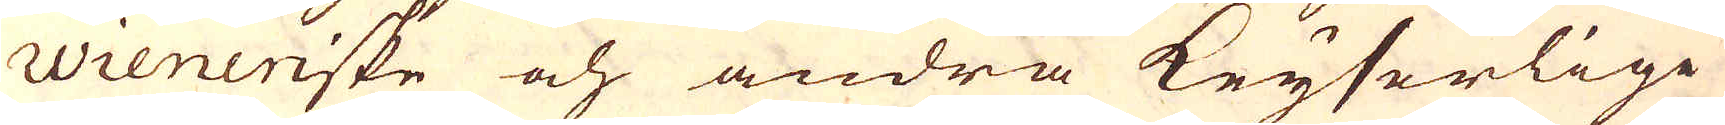Wieneriske och andra Keyserlige
